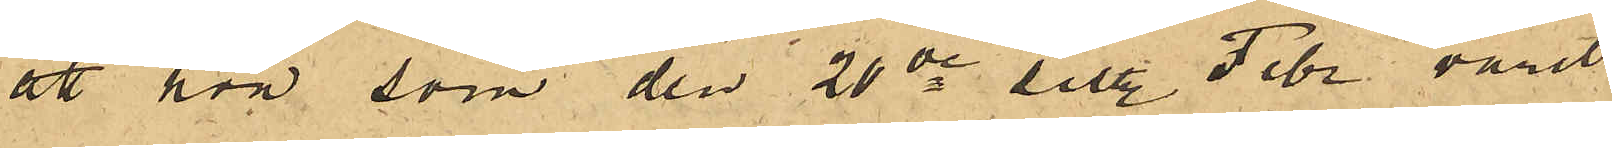att hon som den 20de sist. Febr varit
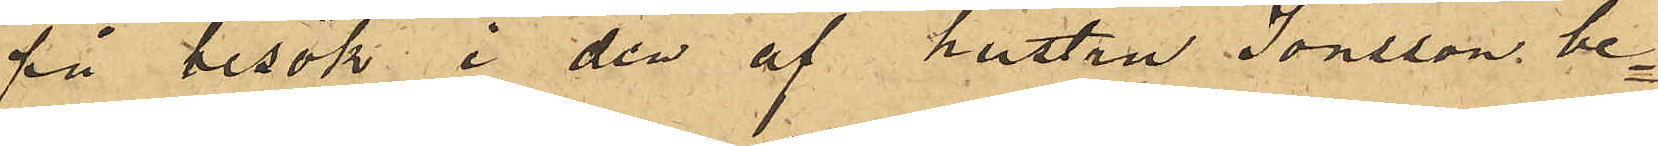på besök i den af hustru Jonsson be¬
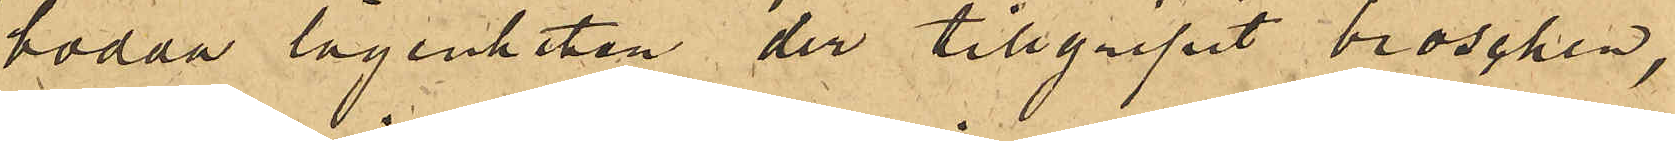bodda lägenheten der tillgripit broschen,
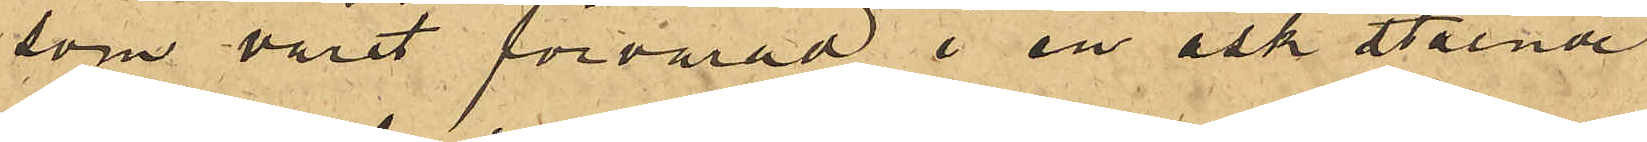som varit förvarad i en ask stående
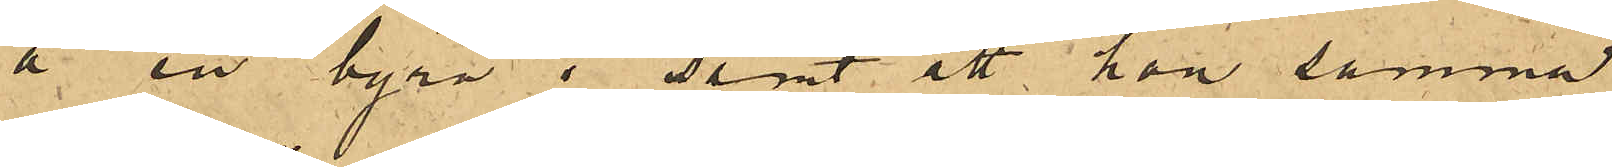å en byrå; samt att hon samma
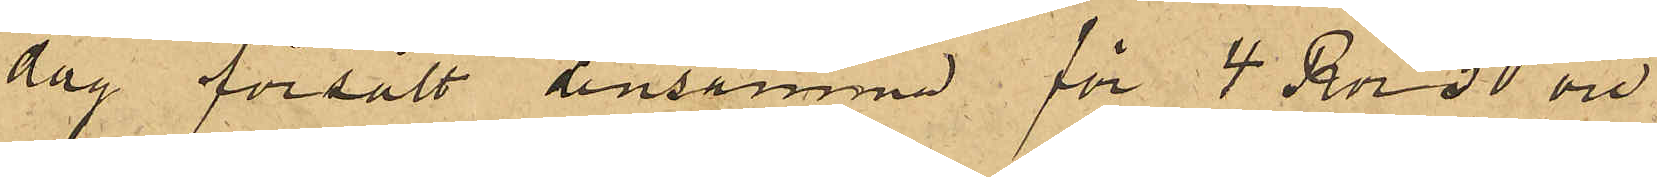dag försålt densamma för 4 Rdr 50 öre
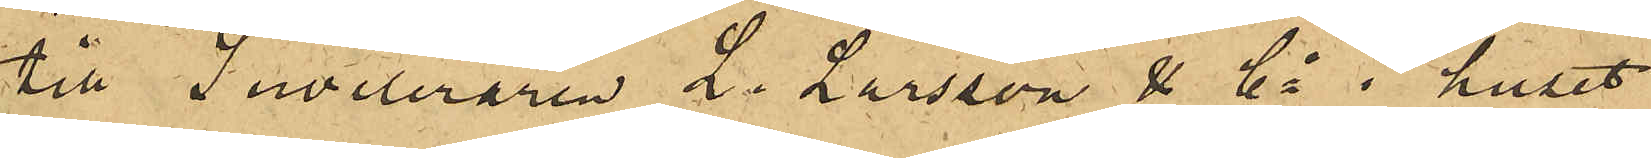till Juveleraren L. Larsson & Co i huset
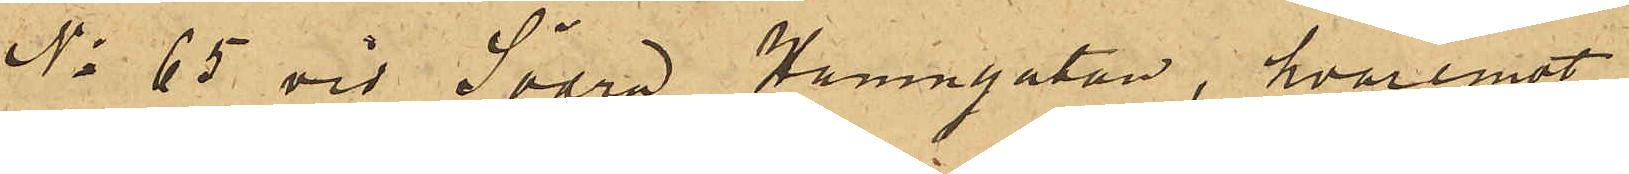No 65 vid Södra Hamngatan, hvaremot
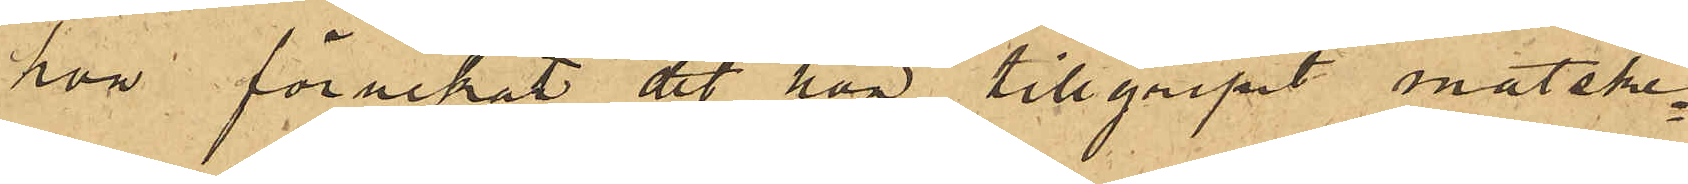hon förnekat det hon tillgripit matske¬
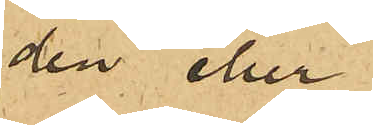den eller
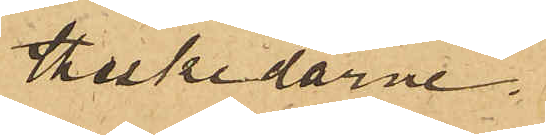theskedarne.
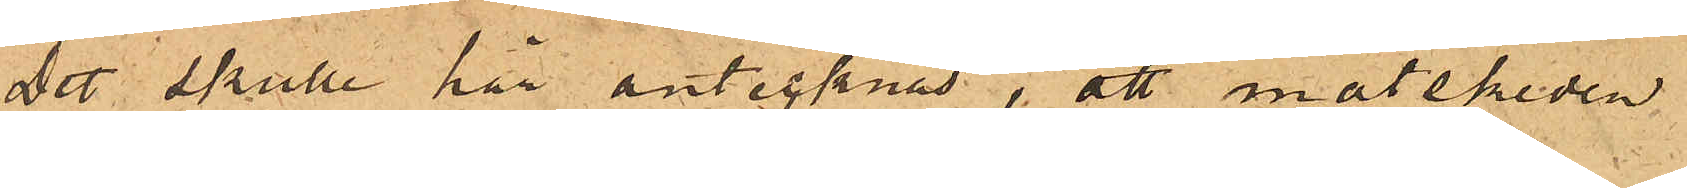Det skulle här antecknas, att matskeden
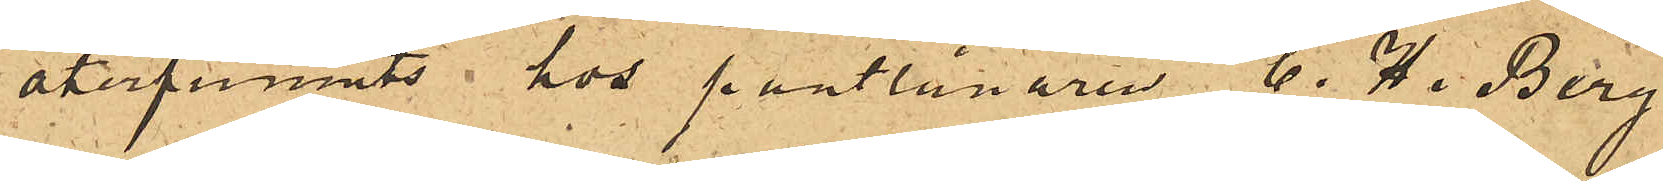återfunnits hos pantlånaren C. H. Berg
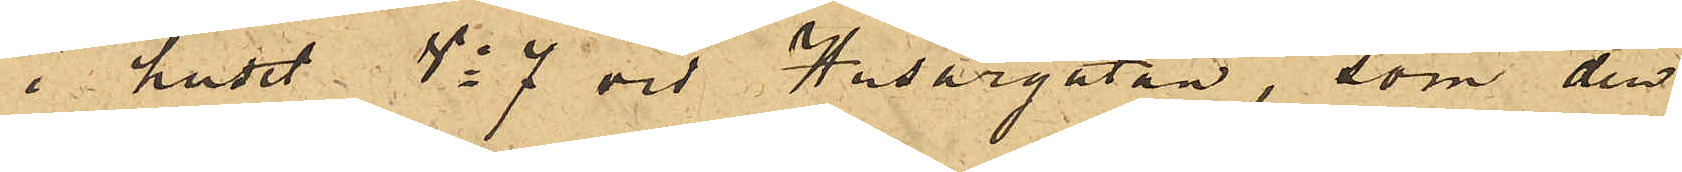i huset No 7 vid Husargatan, som den
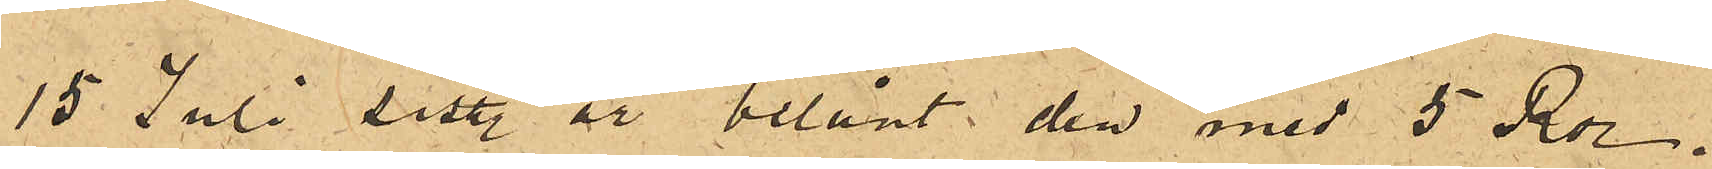15 Juli sist. år belånat den med 5 Rdr.
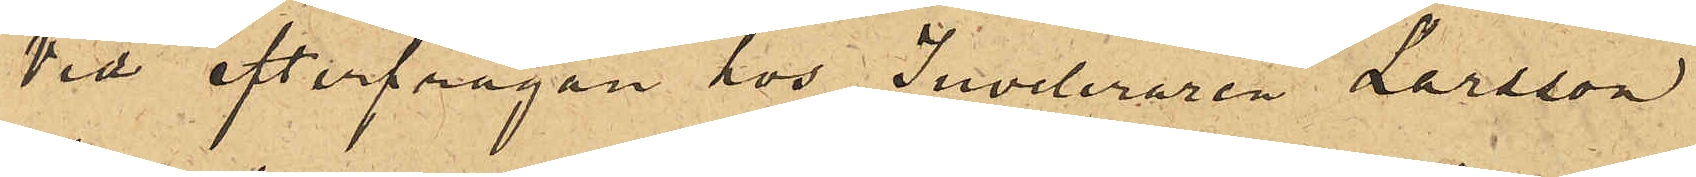Vid efterfrågan hos Juveleraren Larsson
